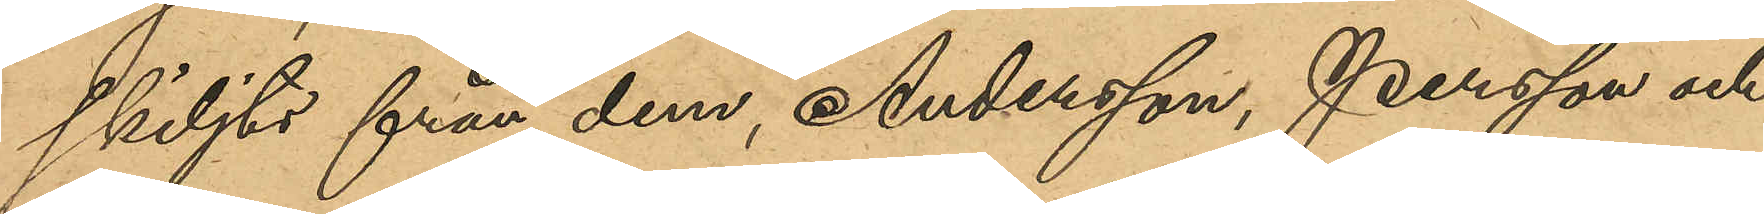skiljts från dem, Andersson, Persson och
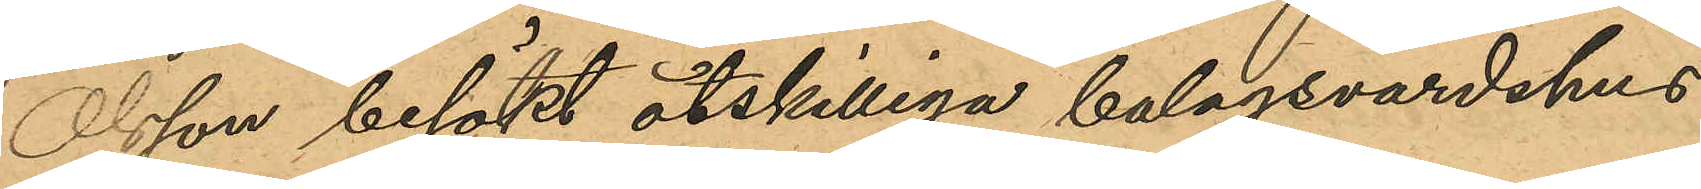Olsson besökt åtskilliga bolagsvärdshus,
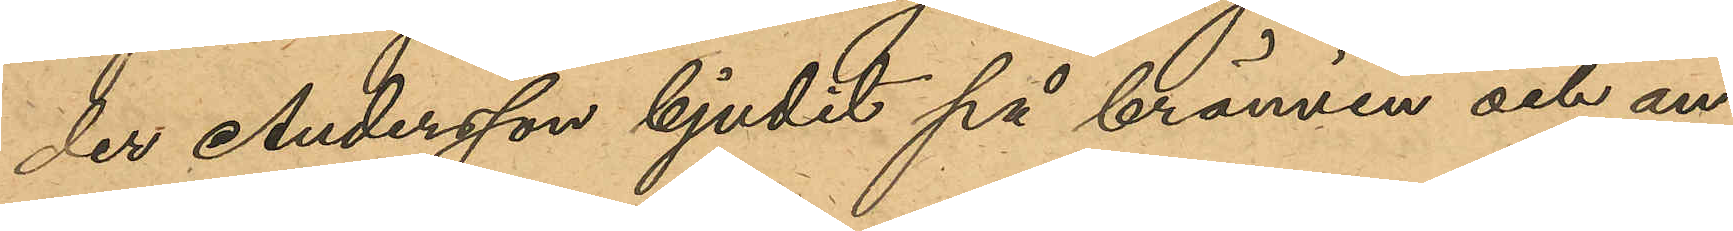der Andersson bjudit på brännvin och an¬
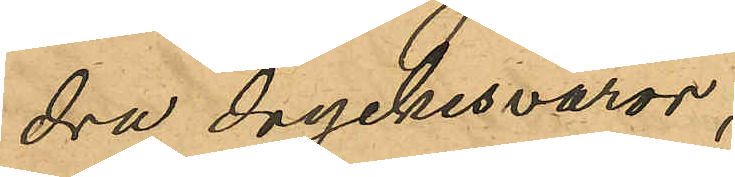dra dryckesvaror;
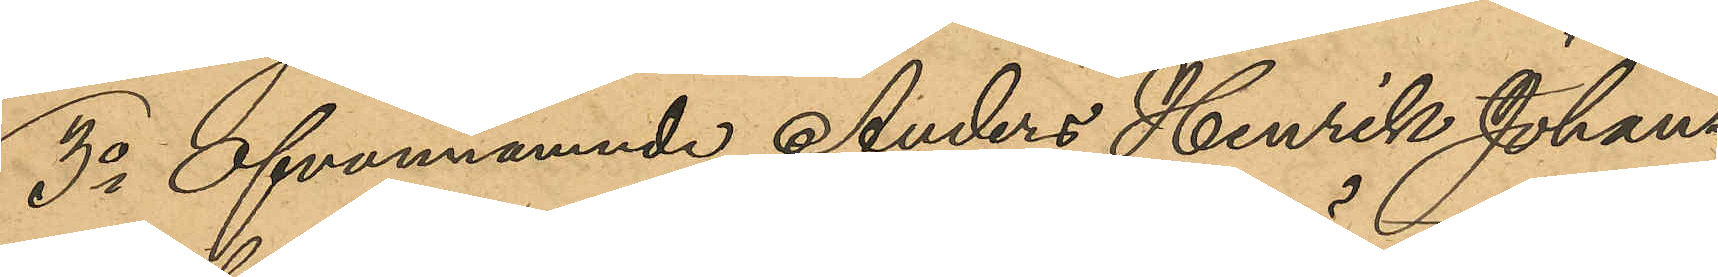3o Ofvannämnde Anders Henrik Johans¬
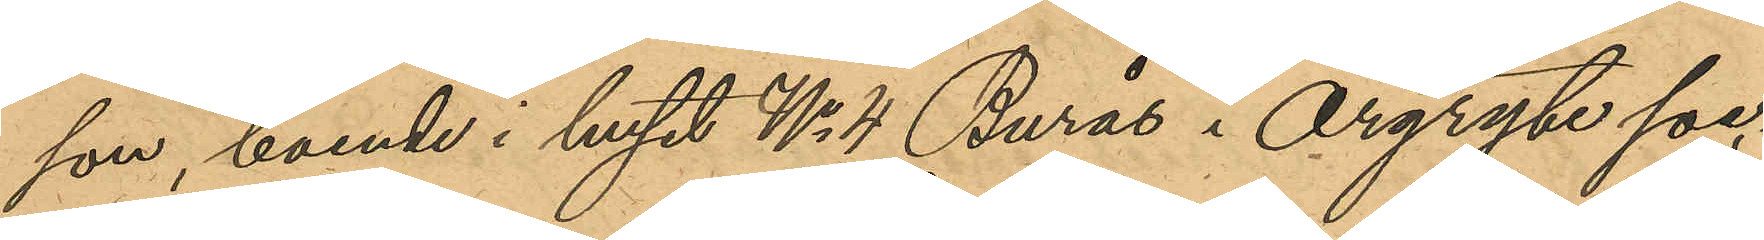son, boende i huset No 4 Burås i Örgryte soc¬
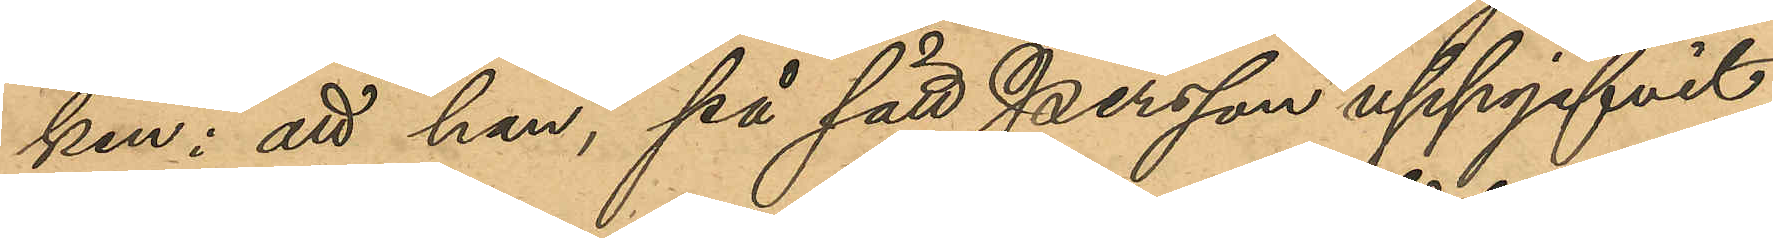ken; att han, på sätt Persson uppgifvit,
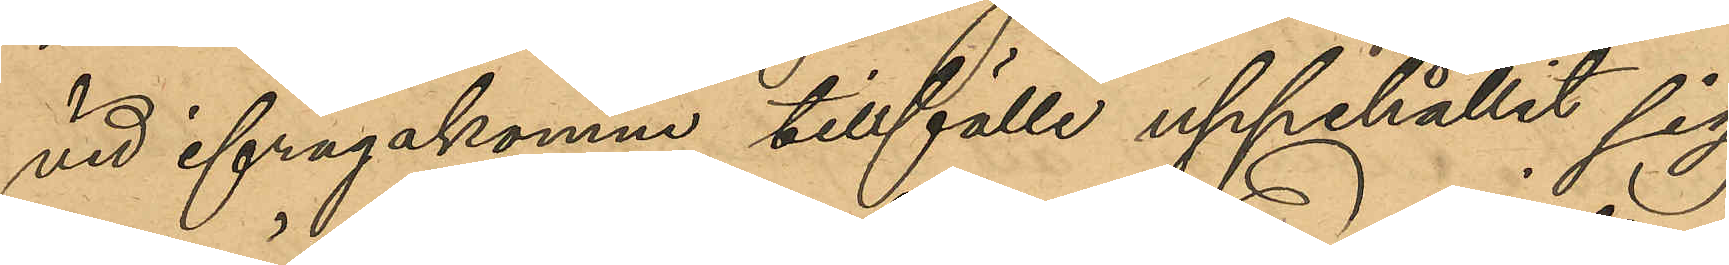vid ifrågakomne tillfälle uppehållit sig
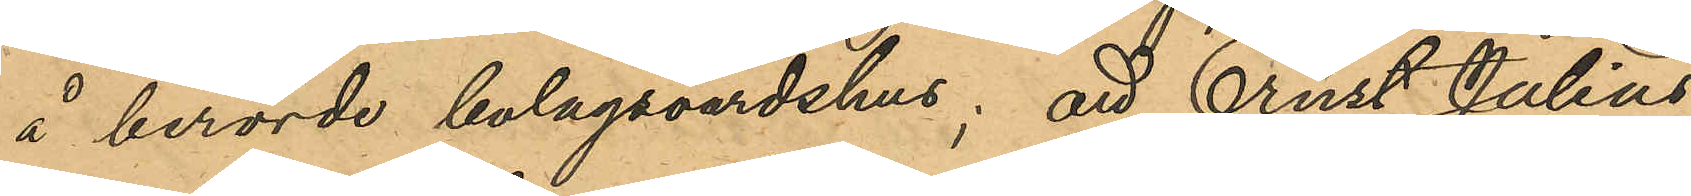å berörde bolagsvärdshus; att Ernst Julius
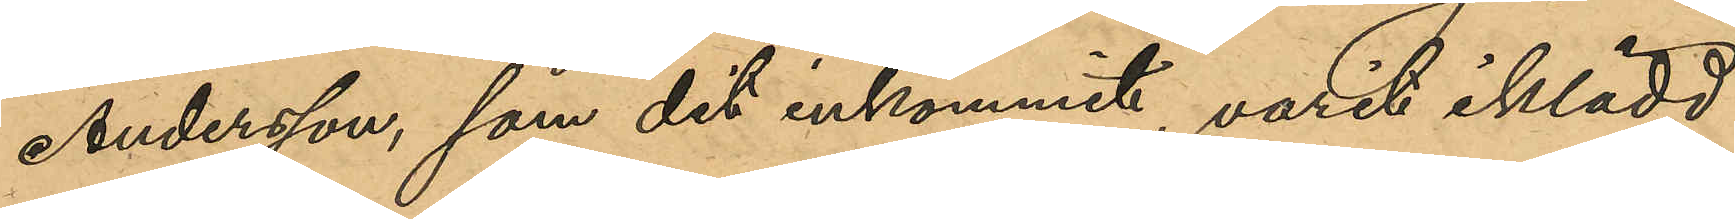Andersson, som dit inkommit, varit iklädd
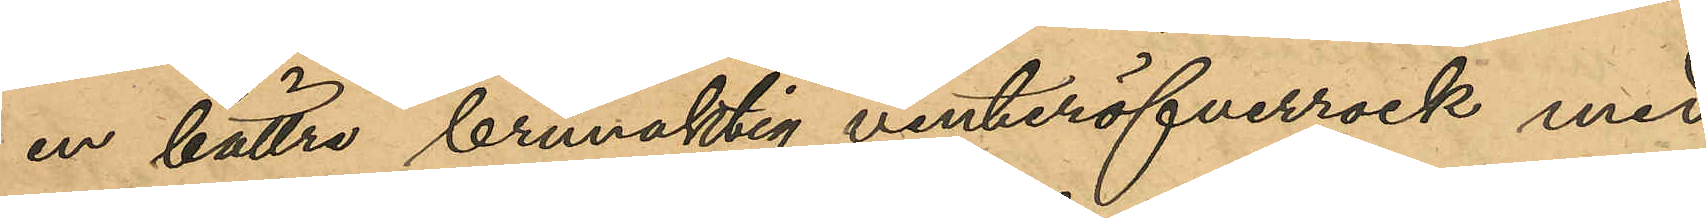en bättre brunaktig vinteröfverrock med
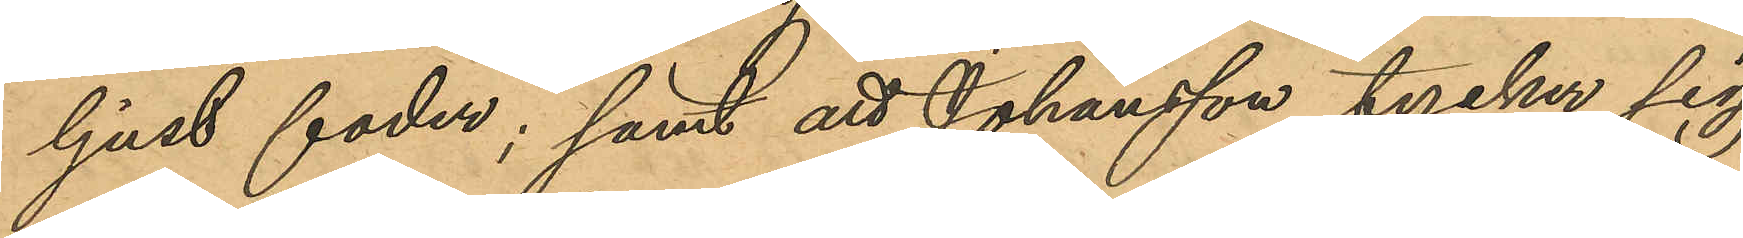ljust foder; samt att Johansson tycker sig
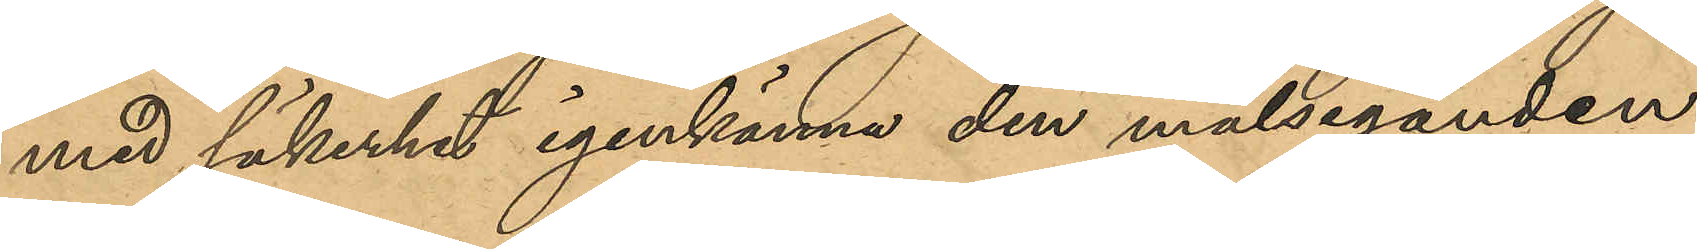med säkerhet igenkänna den målseganden
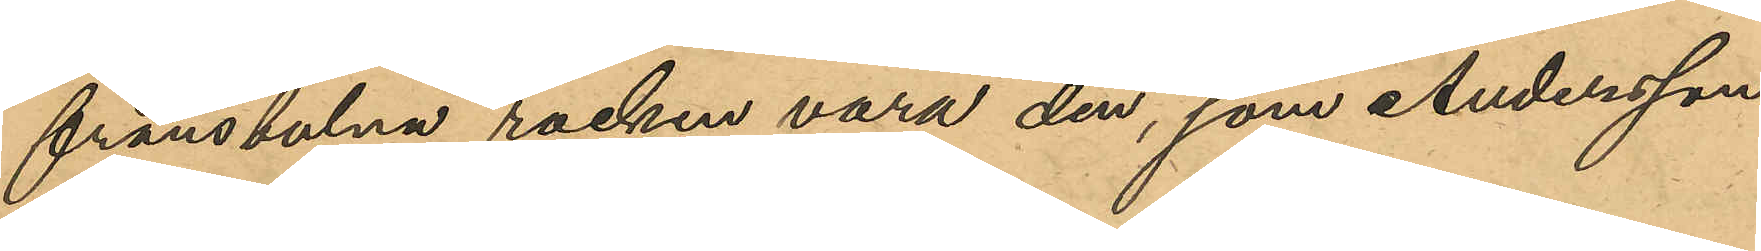frånstulna rocken vara den, som Andersson
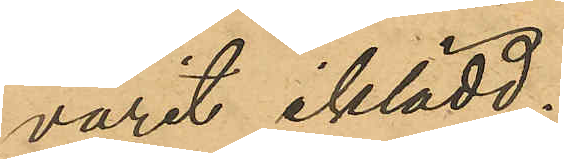varit iklädd;
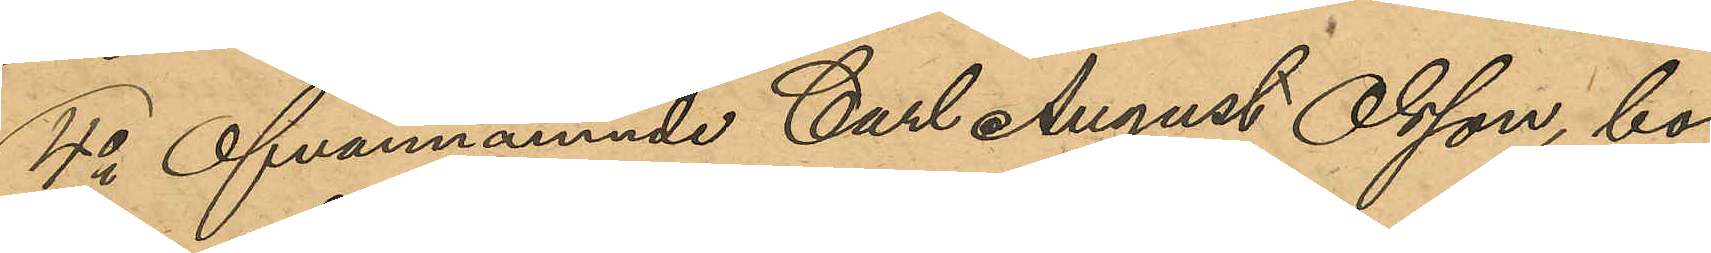4o Ofvannämnde Carl August Olsson, bo¬
